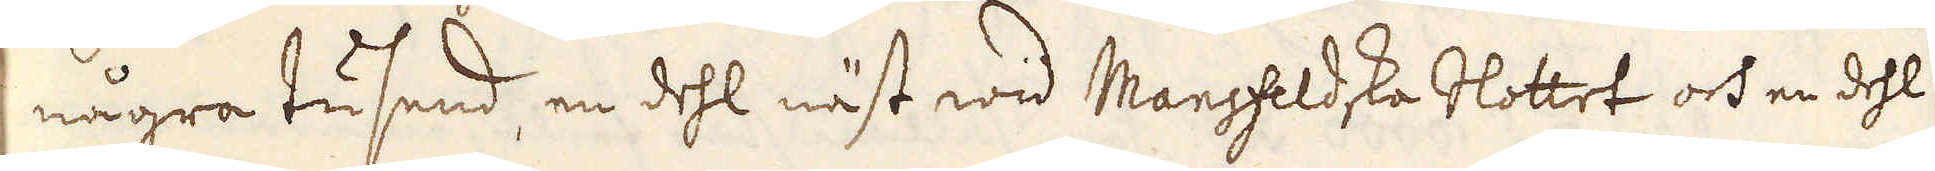några tusend, en dehl näst wid Mansfeldska Slottet och en dehl
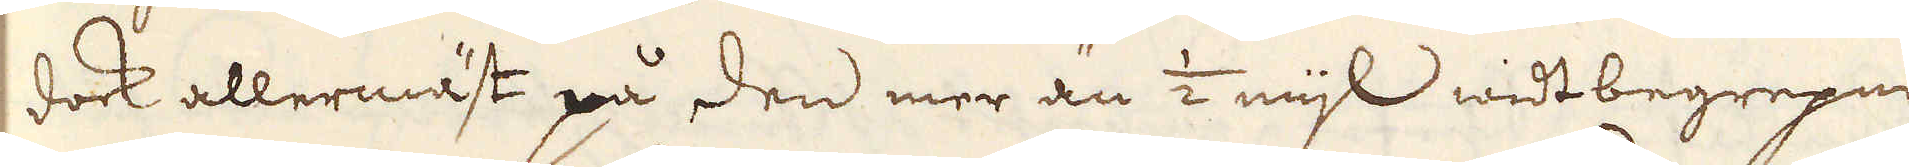dock allermäst på den mer än 1/2 mijl widtbegrepne
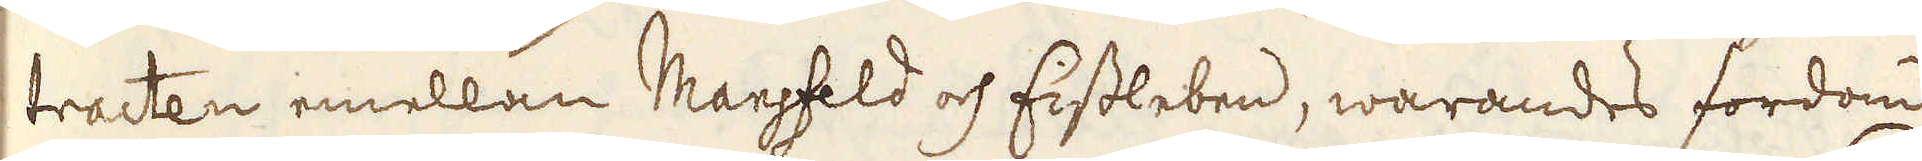tracten emellan Mansfeld och Eisleben, warandes fordom
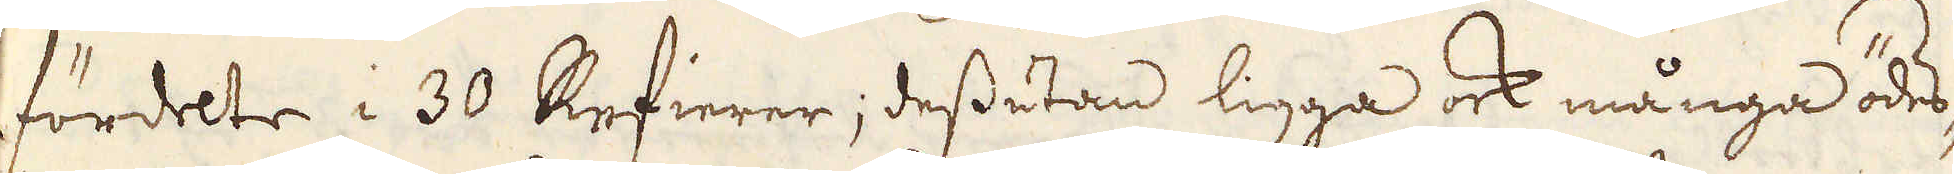fördelte i 30 Refierer, dessutan ligga ock många ödes-
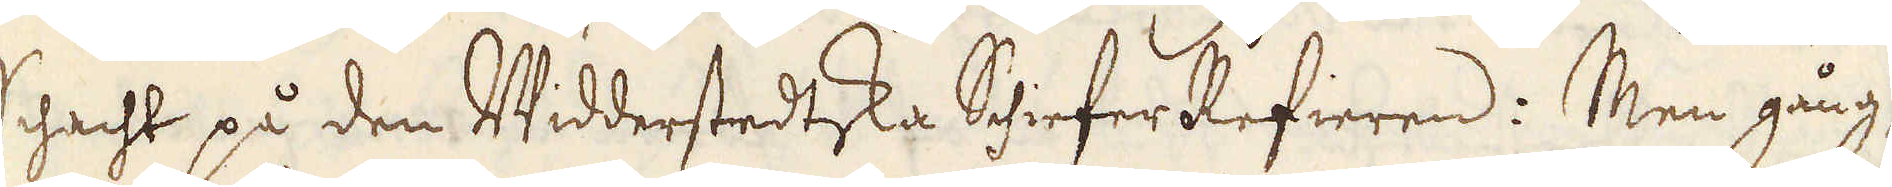Schacht på den Widderstedtska Shiefer Refieren: Men gång-
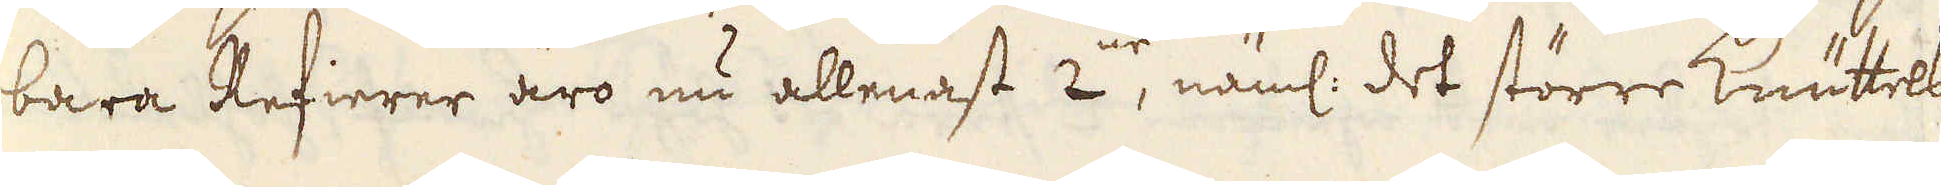bara Refierer äro nu allenast 2:ne, näml: det större Knuttels-
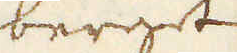berget
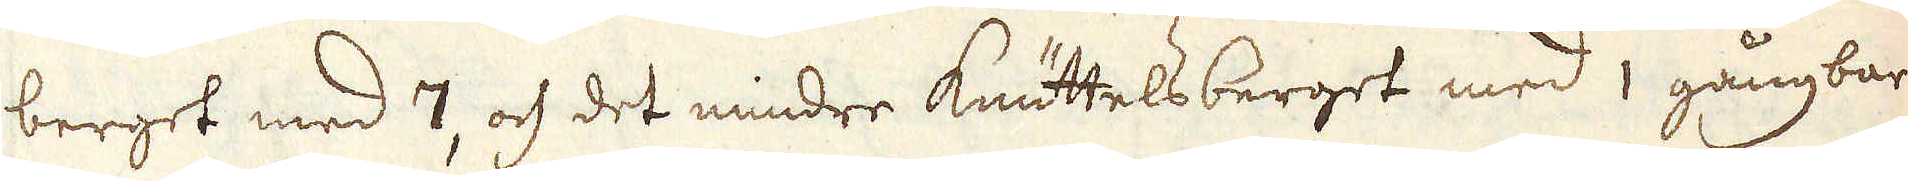berget med 7, och det mindre Knuttelsberget med 1 gångbar
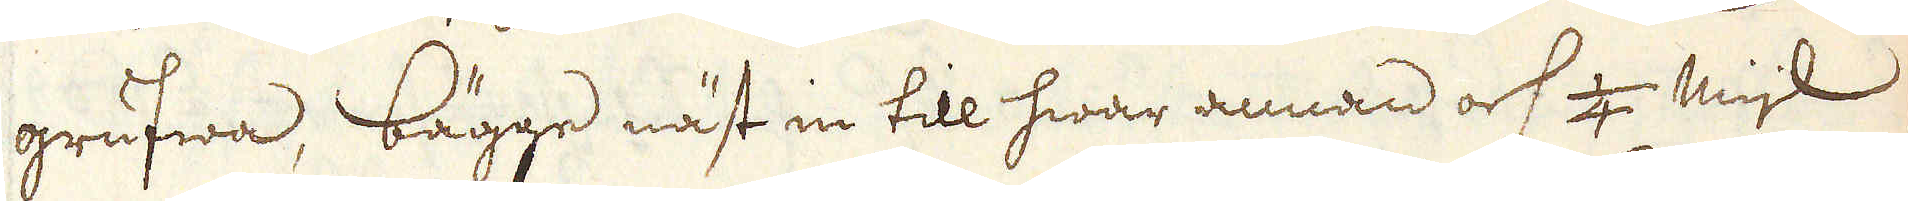grufwa, bägge näst in till hwar annan och 1/4 mijl
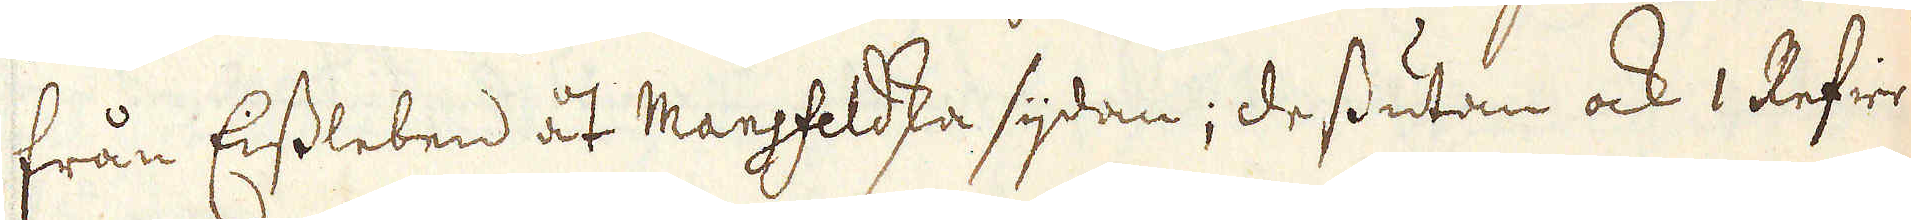från Eisleben åt Mansfeldska sijdan; dessutan ock 1 Refier
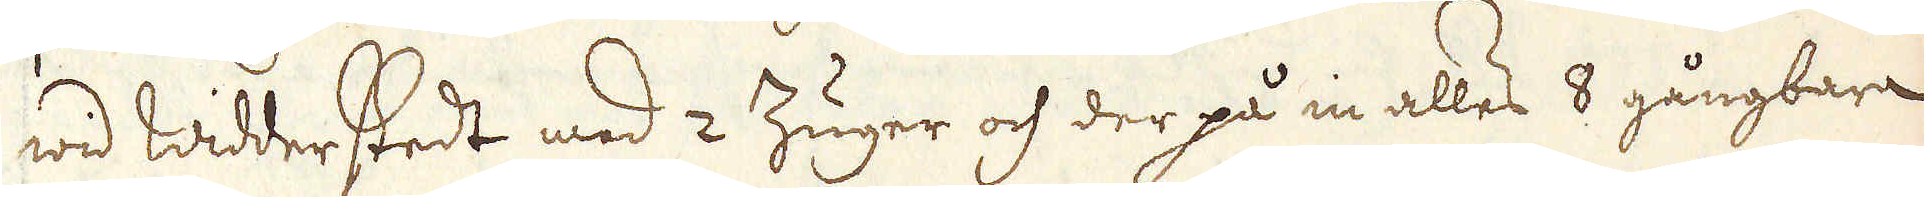wid Widderstedt med 2 Zuger och der på in alles 8 gångbara
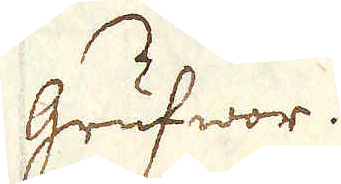grufwor.
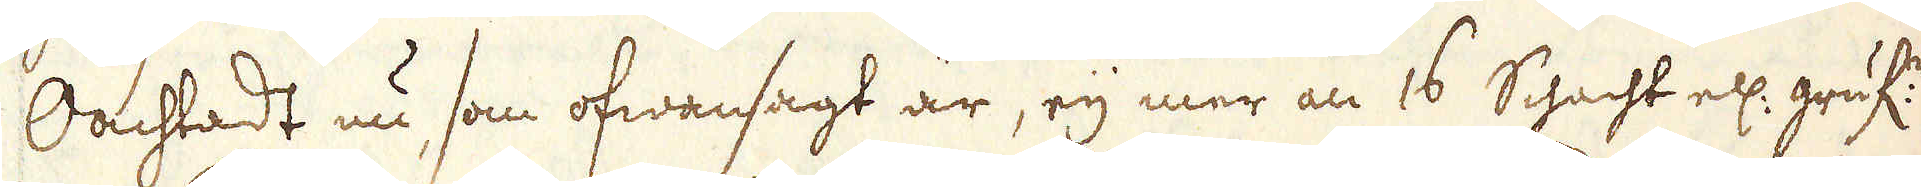Oachtadt nu, som ofwansagt är, eij mer än 16 Schacht ell: gruf:r
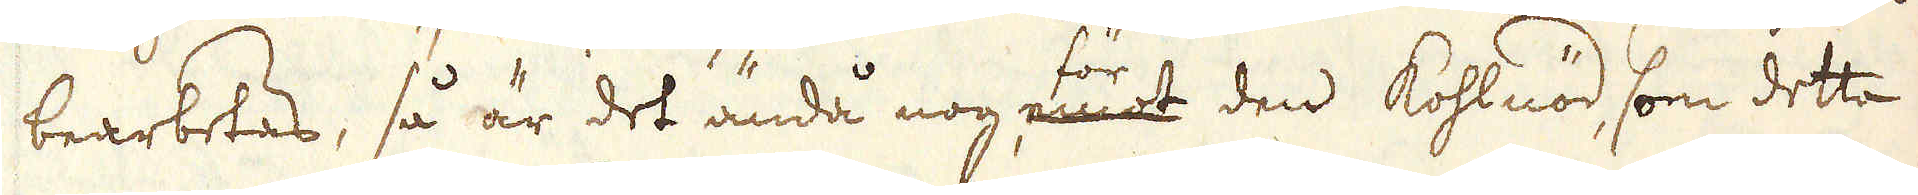bearbetas, så är det ändå nog, emot för den Kohlnöd, som detta
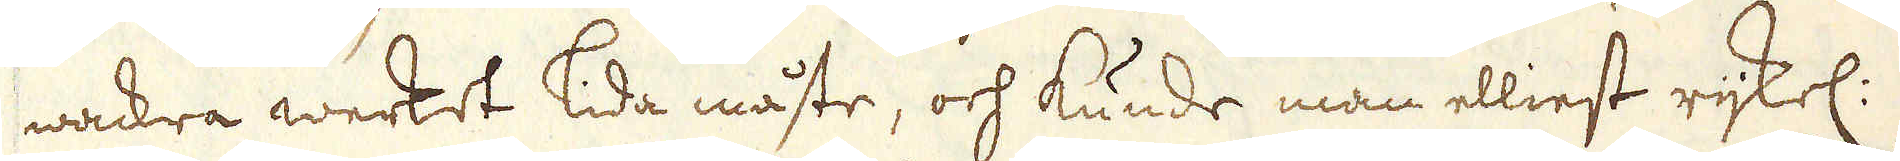wackra werket lida måste, och kunde man elliest rijkel:
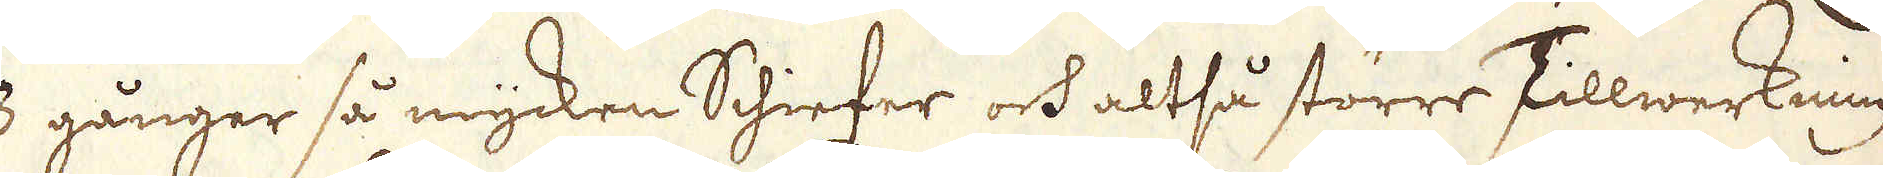3 gånger så mycken Schiefer och altså större Tillwerkning
